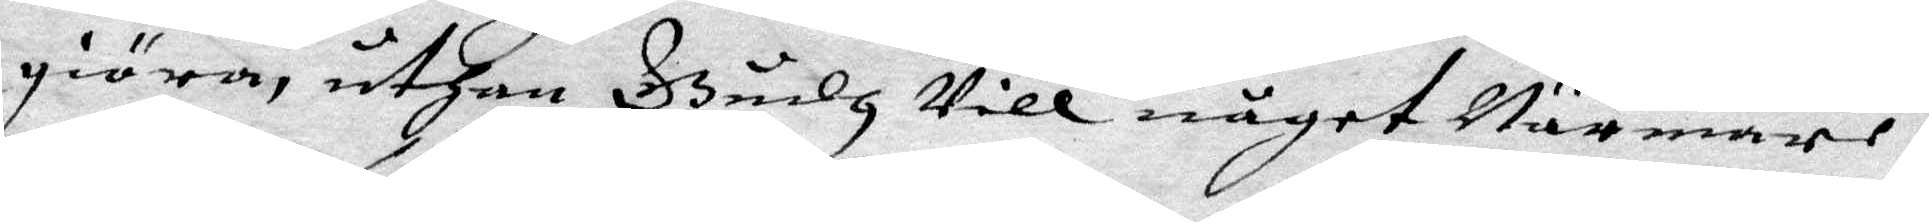giöra, uthan Gudh Vill något Närmare i
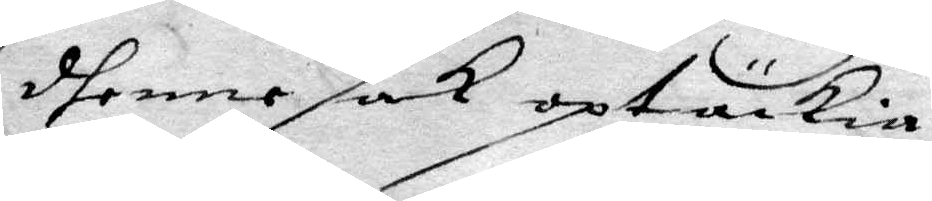dhenne sak optäckia,
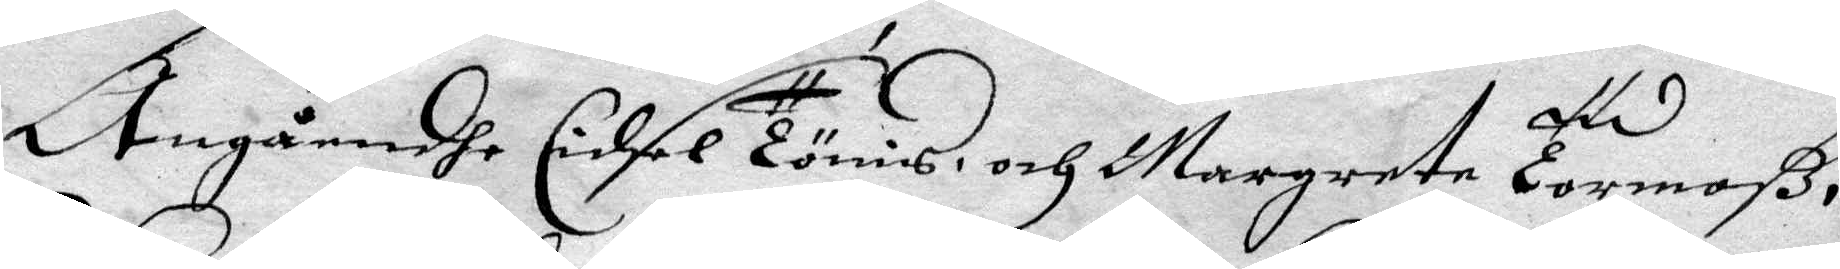Angåendhe Cidsel Tönis och Margareta Tormoß
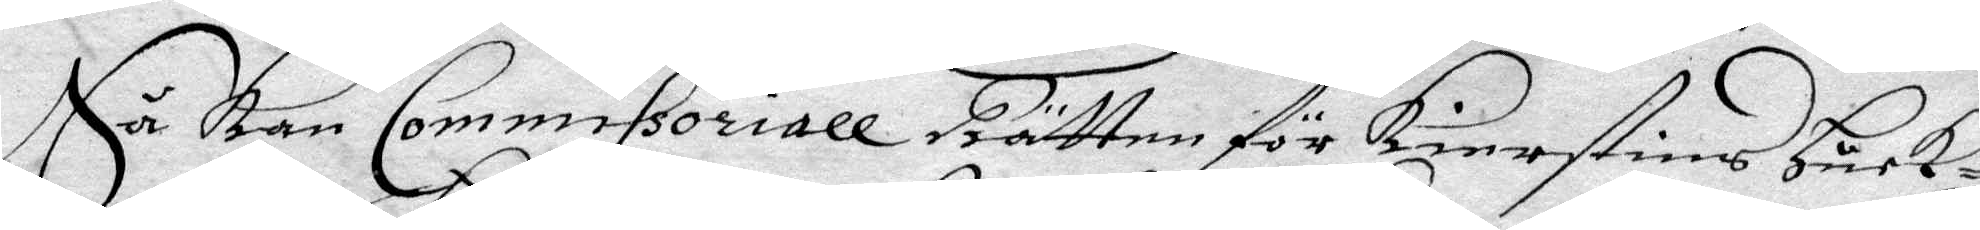Så kan Commissoriall Rätten för Kierstins Hurk¬
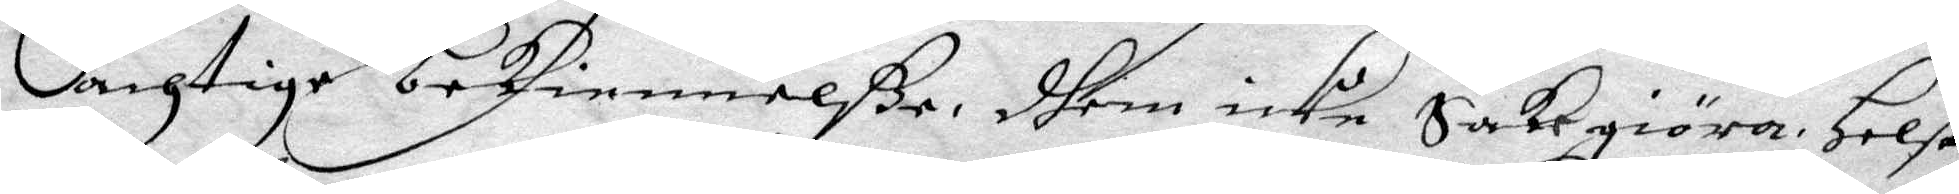achtige bekiennelße, dhem icke Sakgiöra, Helst
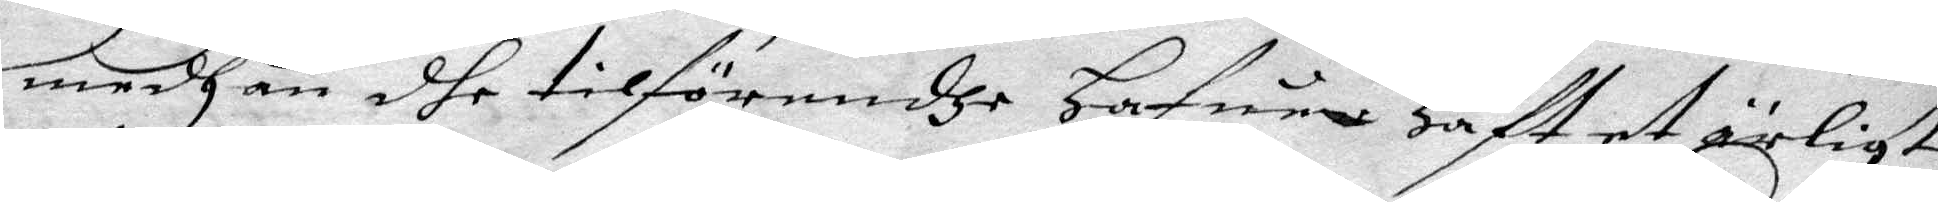medhan dhe tilförendhe Hafuer Haft et ärligt
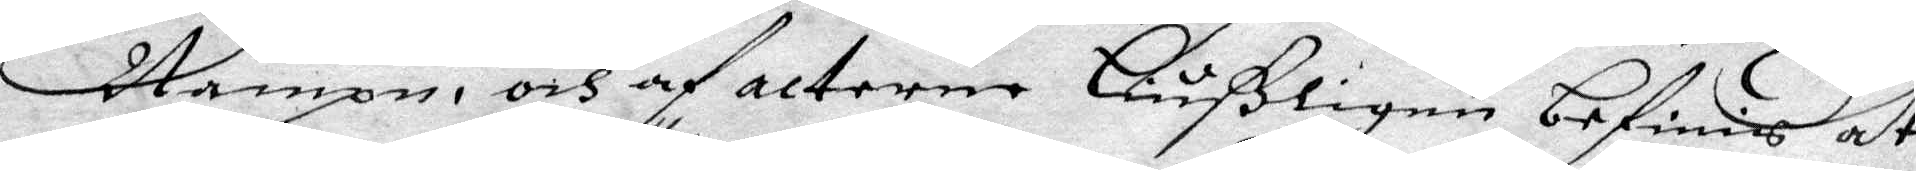Nampn, och af acterne Liußligen befinnis at
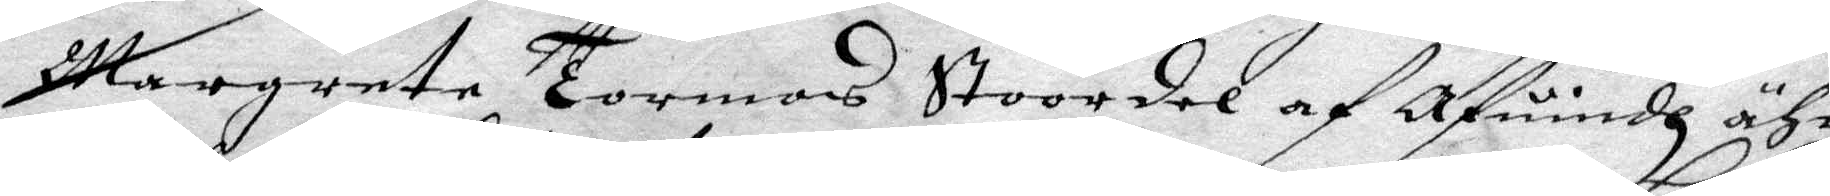Margareta Tormos Stoordal af Afundh ähr
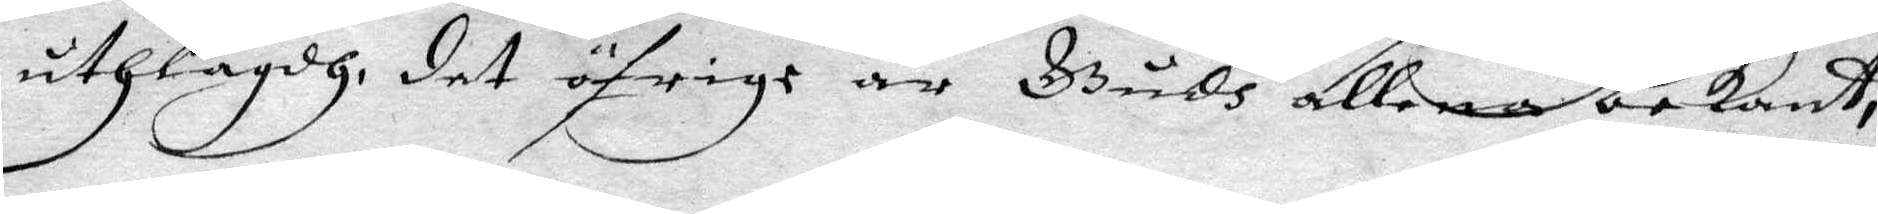uthlagdh det öfrige är Gudh allena bekant,
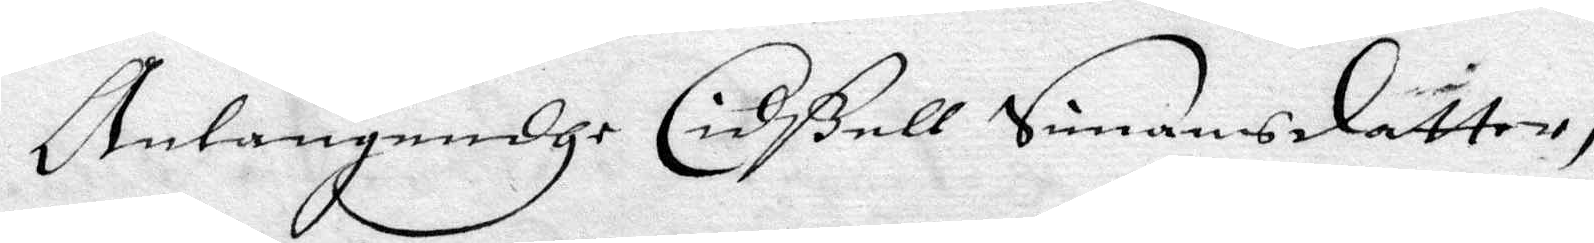Anlangendhe Cidßell Simansdatter,
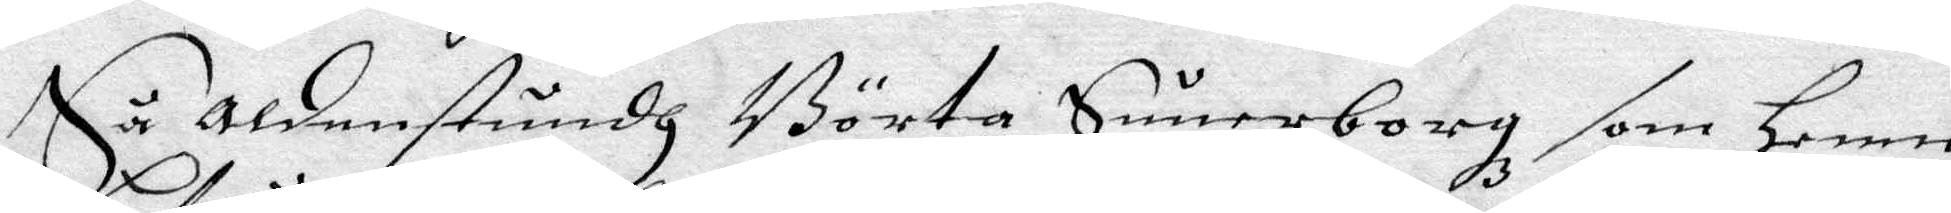Så aldenstundh Börta Sunerborg som henne
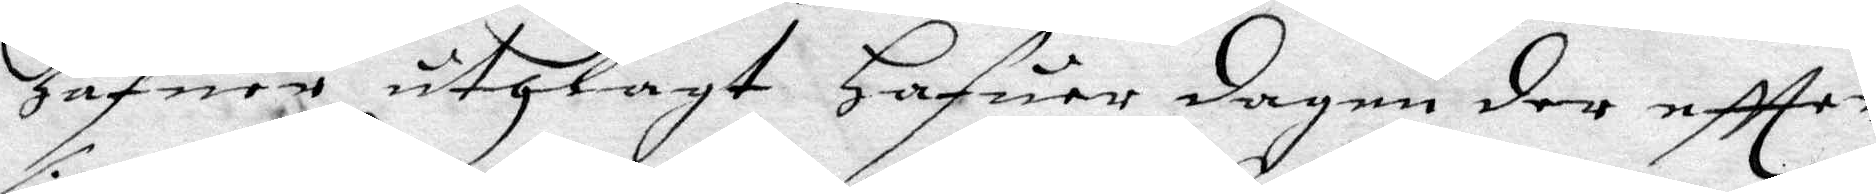hafuer uthlagt Hafuer dagen der eftter
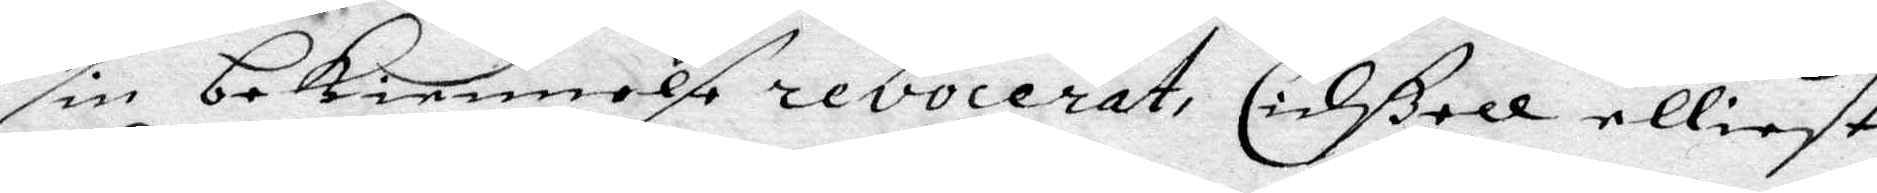sin bekiennelse revocerat, Cidßell elliest
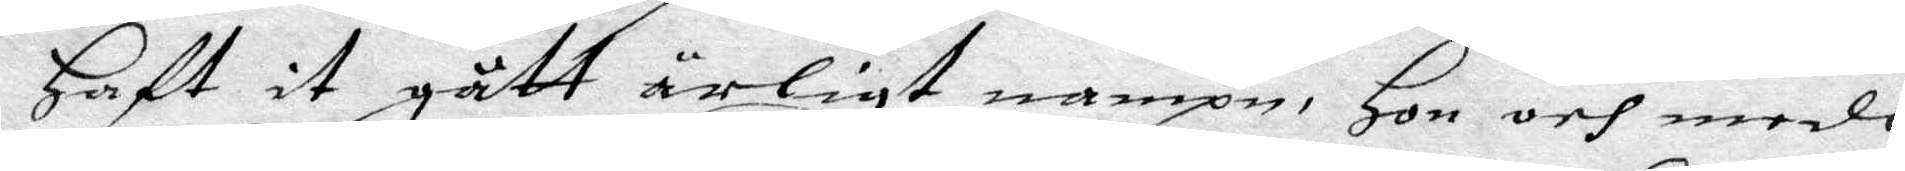Haft it gått ärligt nampn, Hon och medh
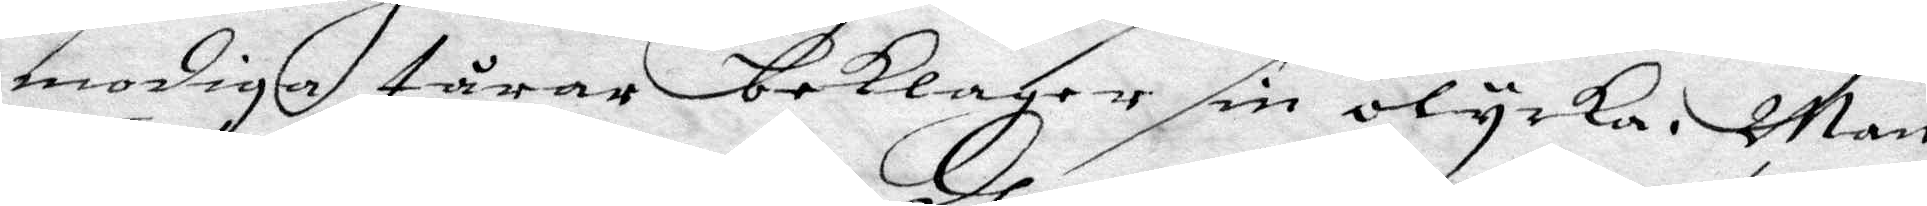modiga tårar beklaget sin olycka. Man
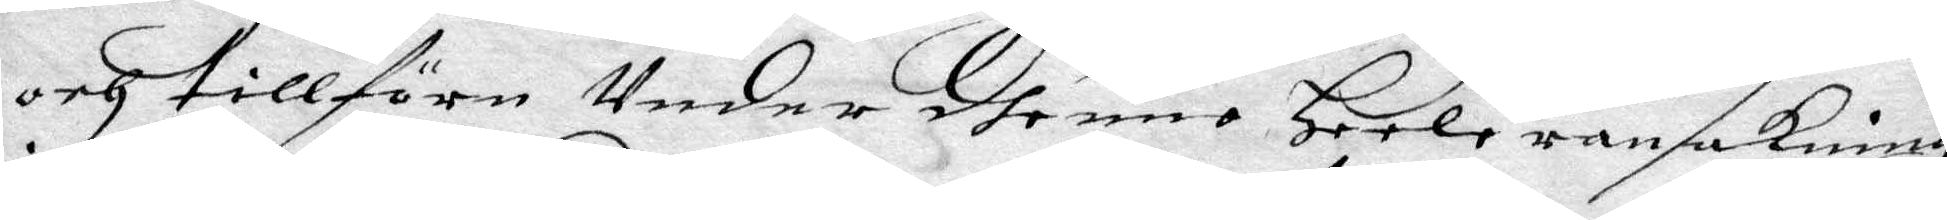och tillföre Under dhenne Heele ransakningh
